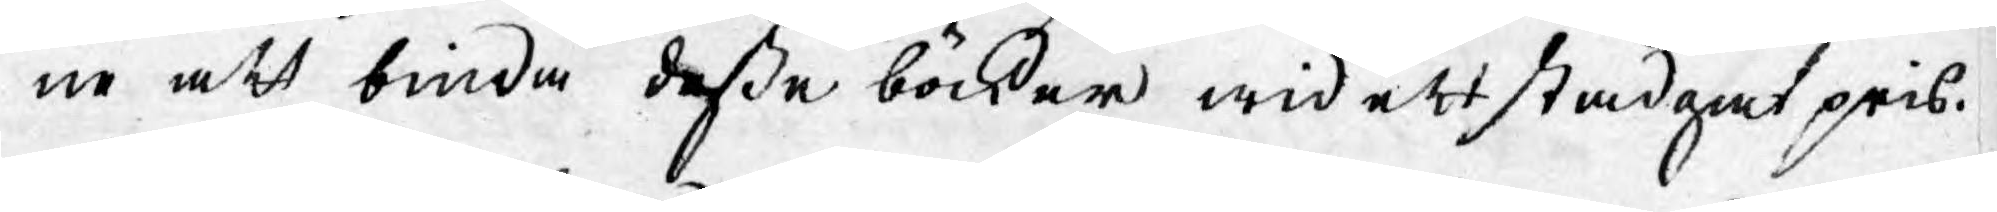ne att binda deße böcker wid ett stadgat pris.
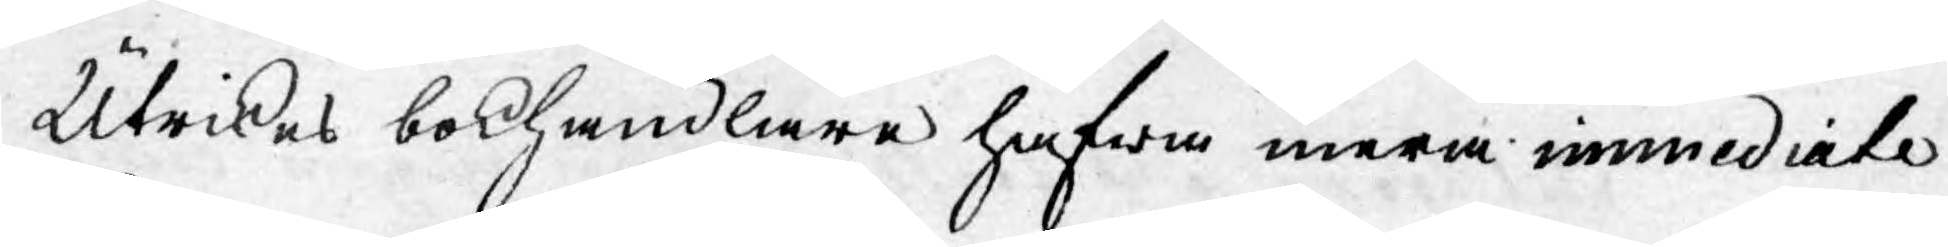Utrikes bokhandlare hafwa mera immediate
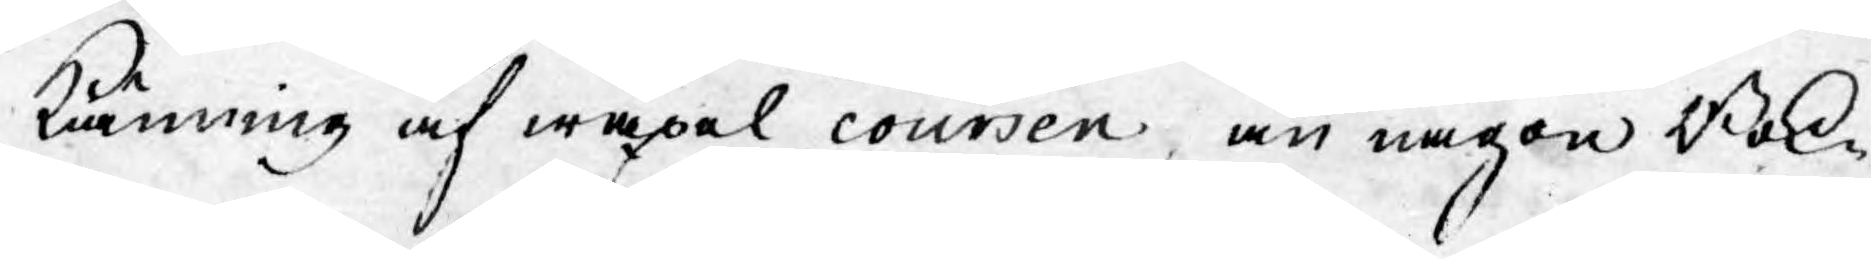känning af wäxel coursen, än någon Bok¬
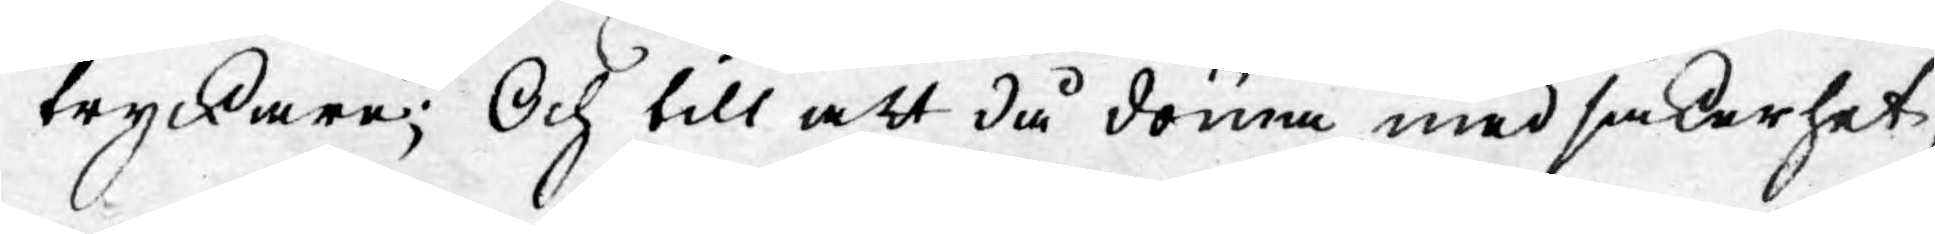tryckare; Och till att då döma med säkerhet
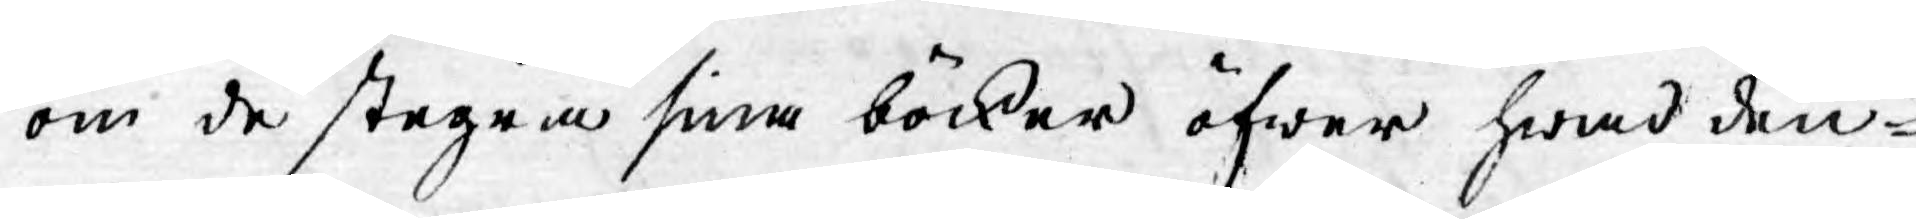om de stegra sina böcker öfwer hwad den¬
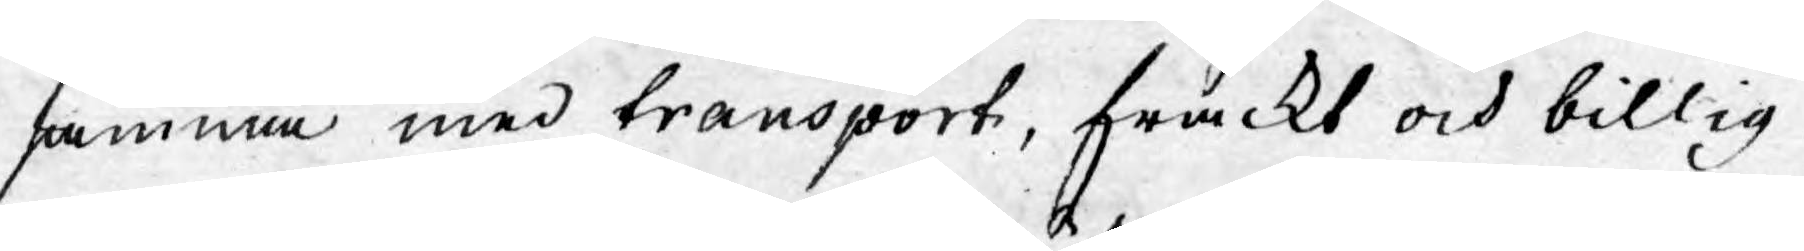samma med transport, frakt och billig
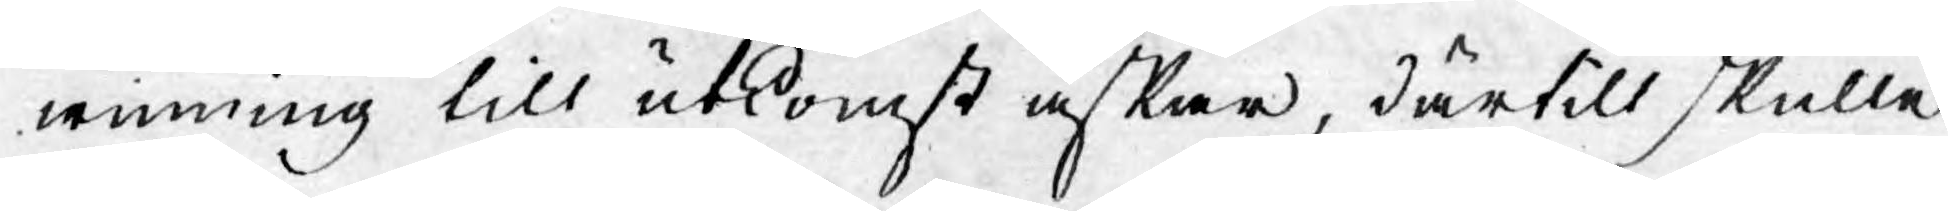winning till utkomst önskar, därtill skulle
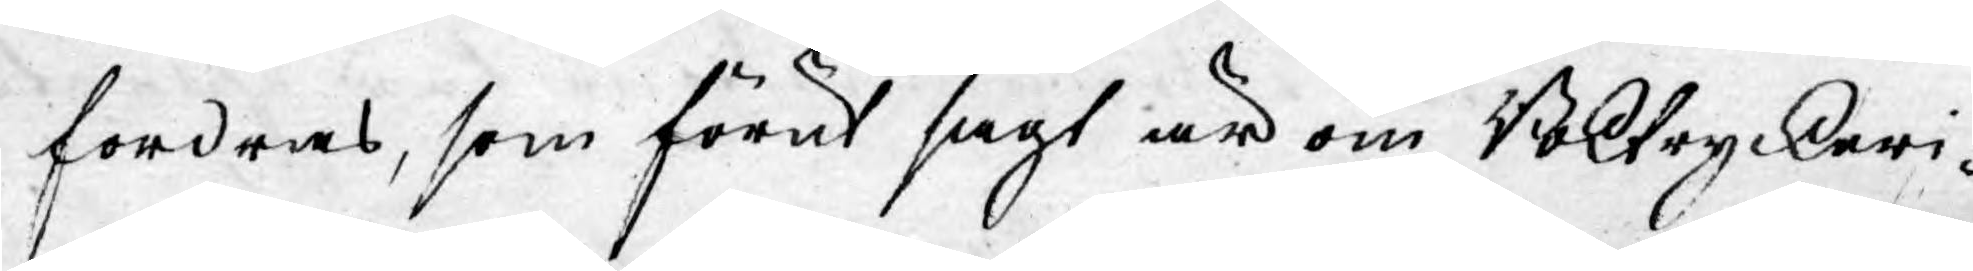fordras, som förut sagt är om Boktryckeri¬
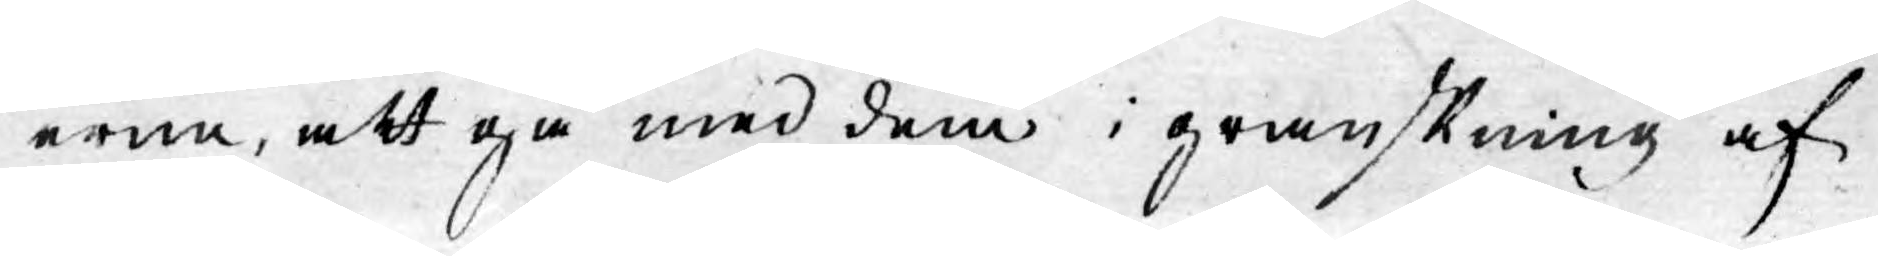erne, att gå med dem i granskning af
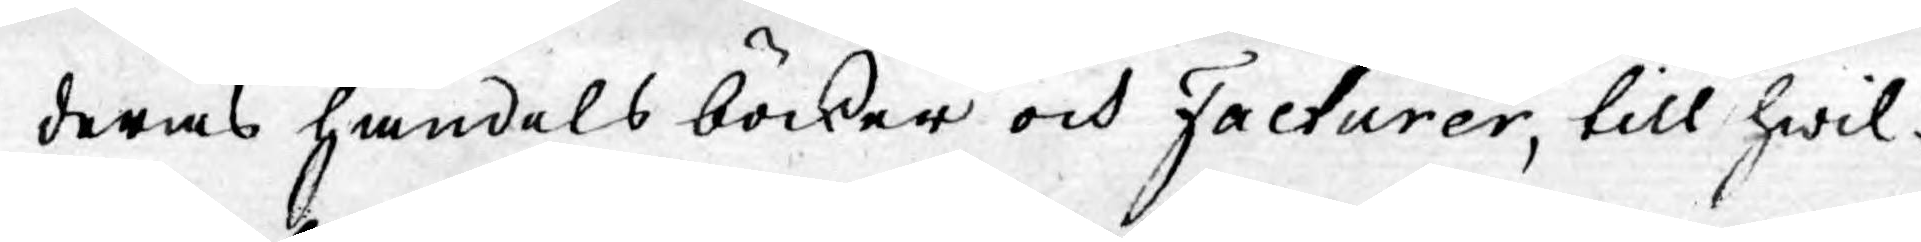deras handelsböcker och Facturer, till hwil¬
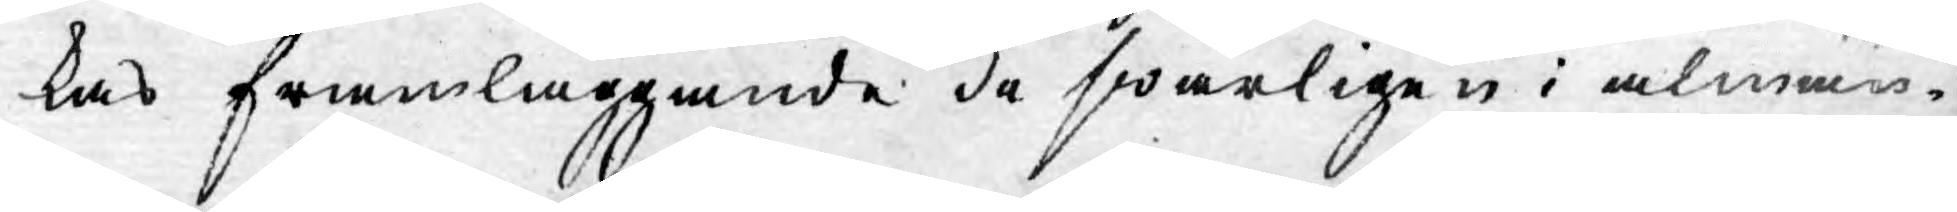kas framläggande de swårligen i almän¬
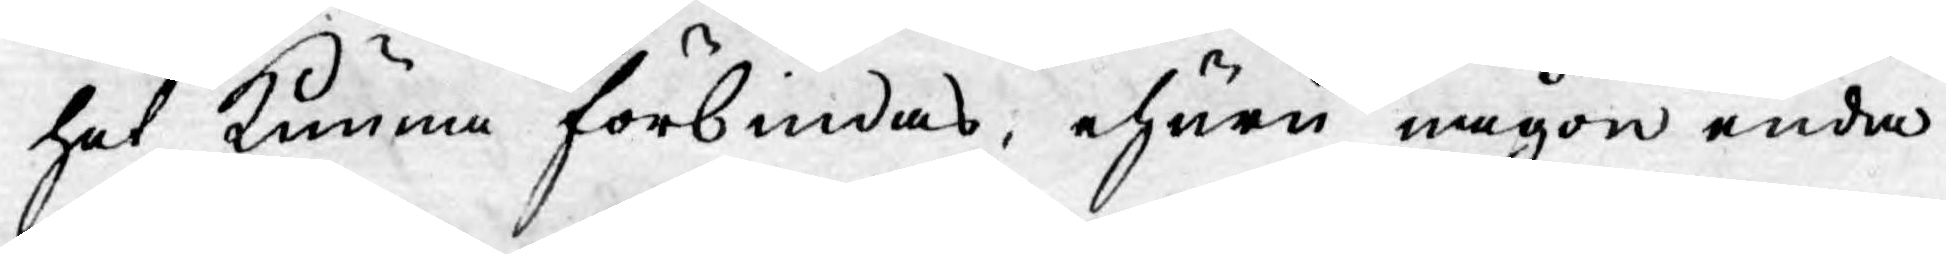het kunna förbindas; ehuru någon enda
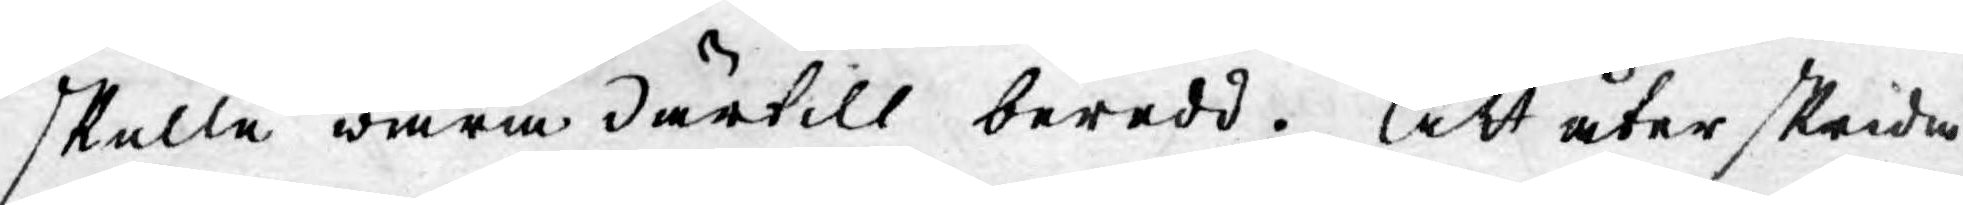skulle wara därtill beredd. Att åter skrida
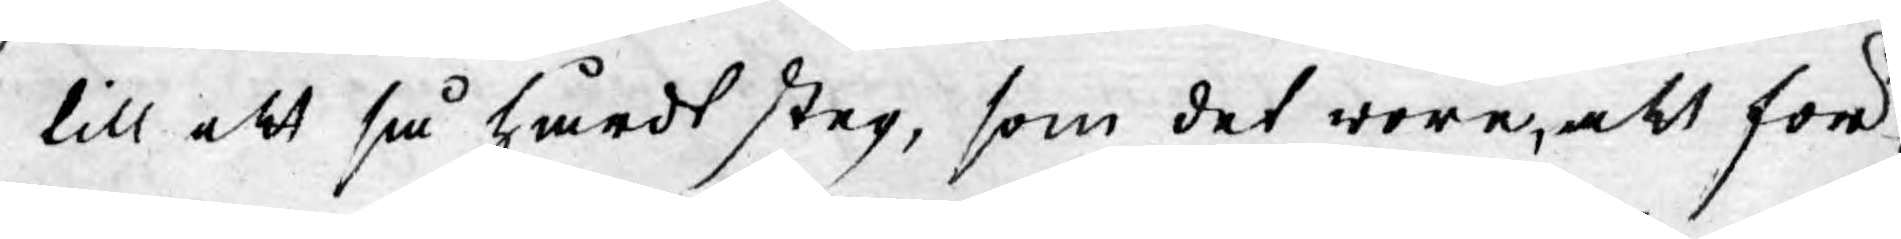till ett så hårdt steg, som det wore, att för¬
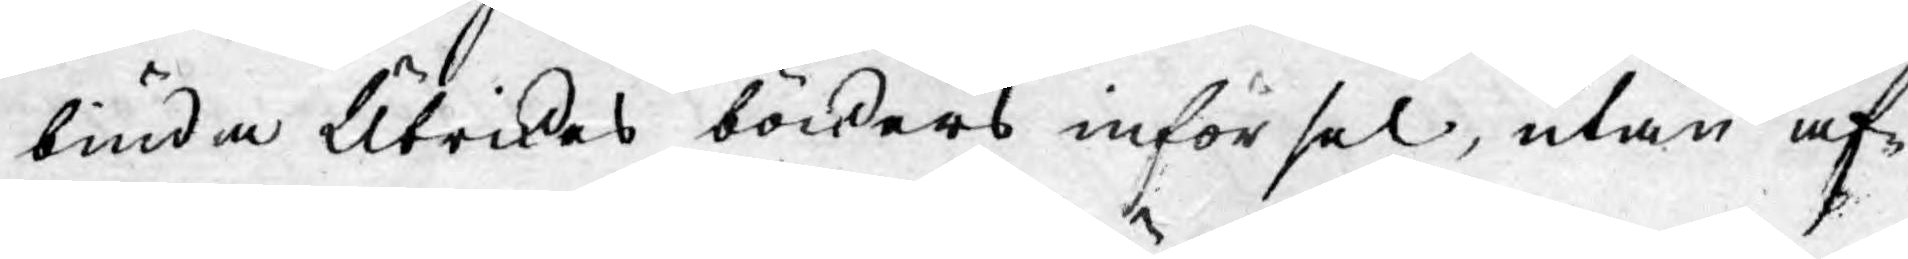biuda Utrikes böckers införsel, utan af¬
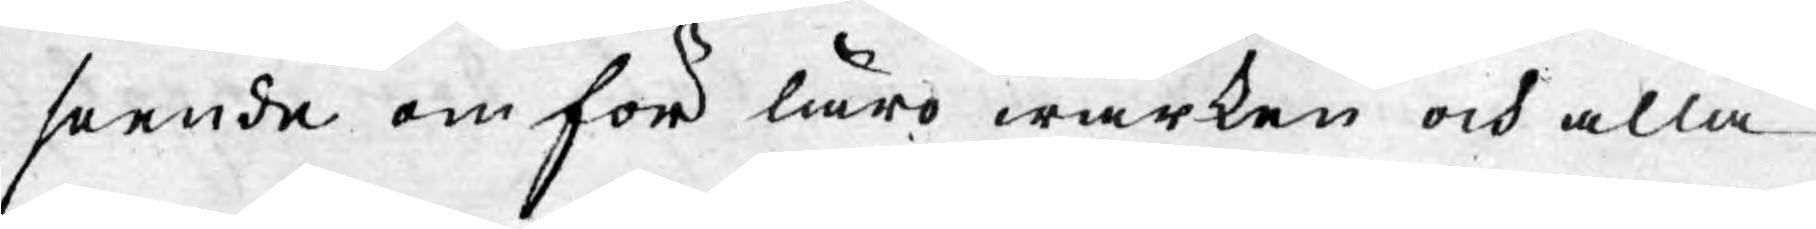seende om för lärowärken och alla
